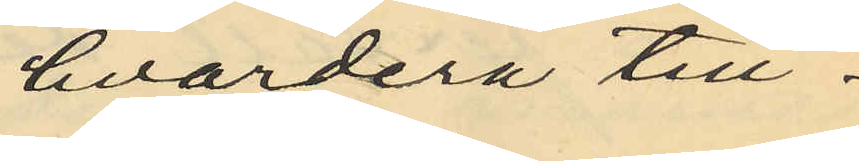hvardera till¬
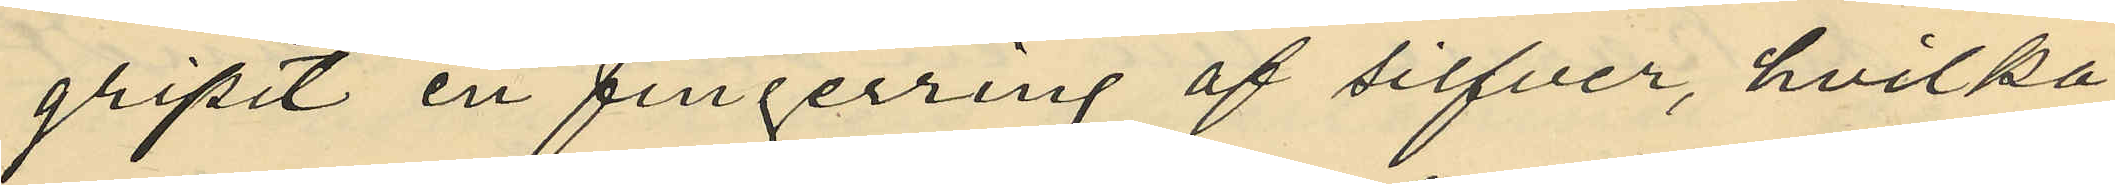gripit en fingerring af silfver, hvilka
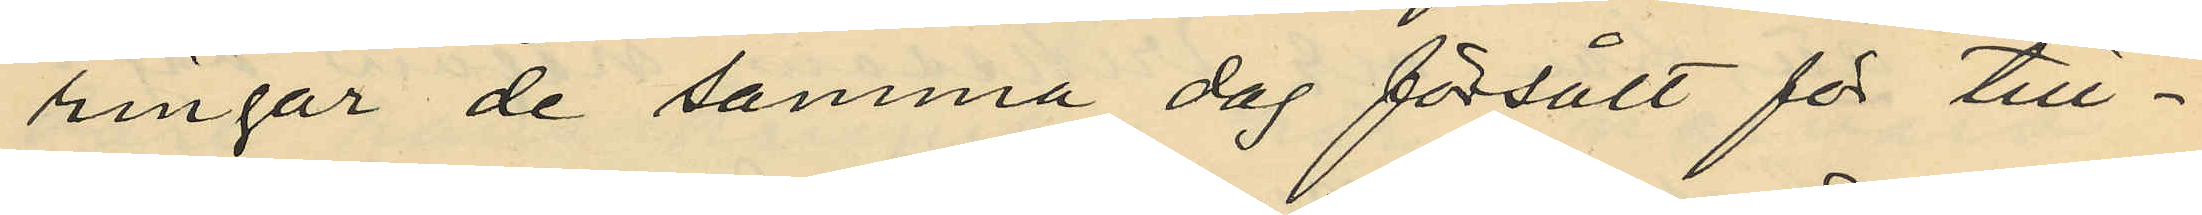ringar de samma dag försålt för till¬
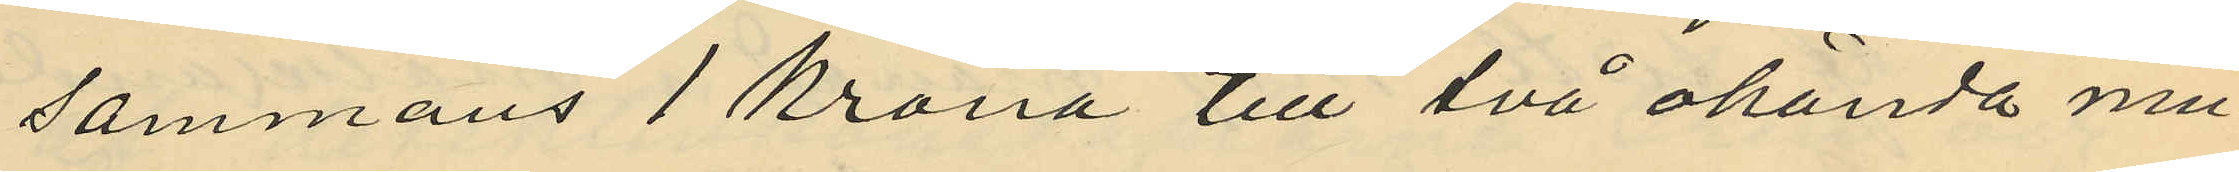sammans 1 krona till två okända mu¬
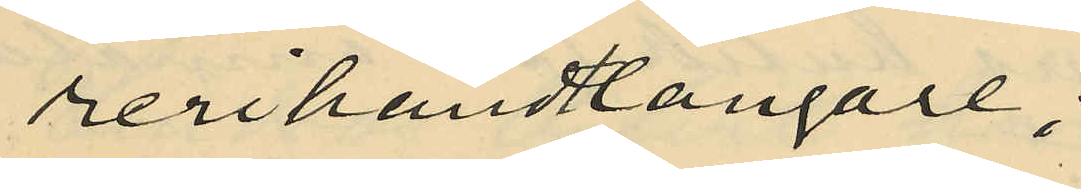rerihandlangare;
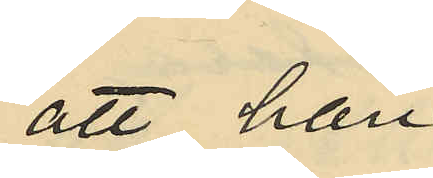att han
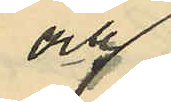och
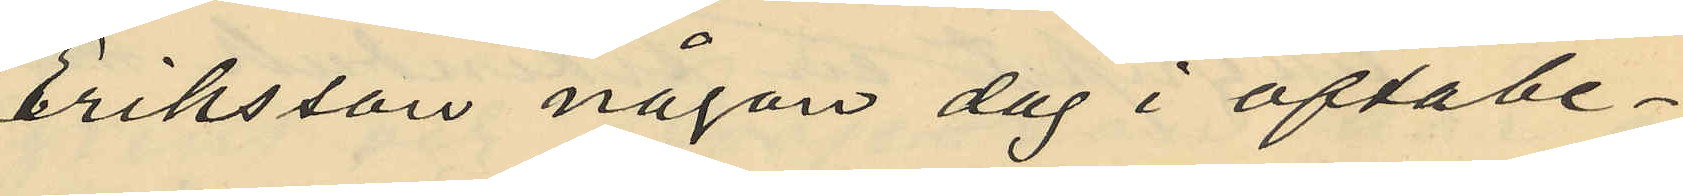Eriksson någon dag i oftabe¬
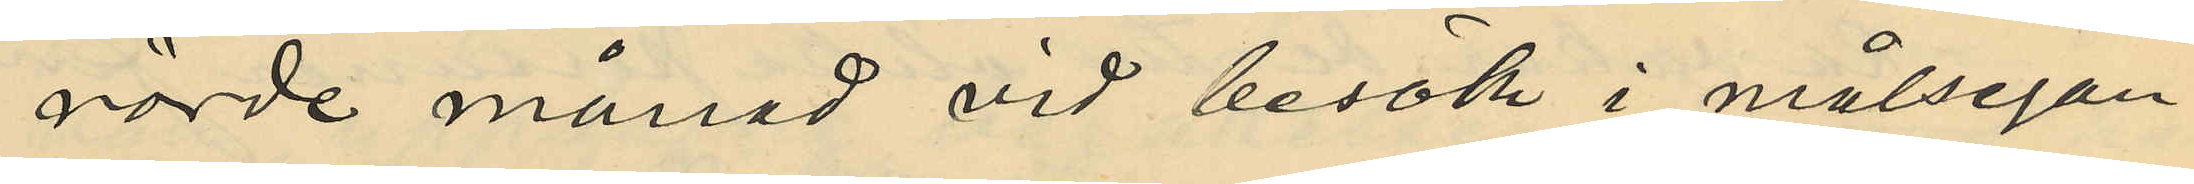rörde månad vid besök i målsegan¬
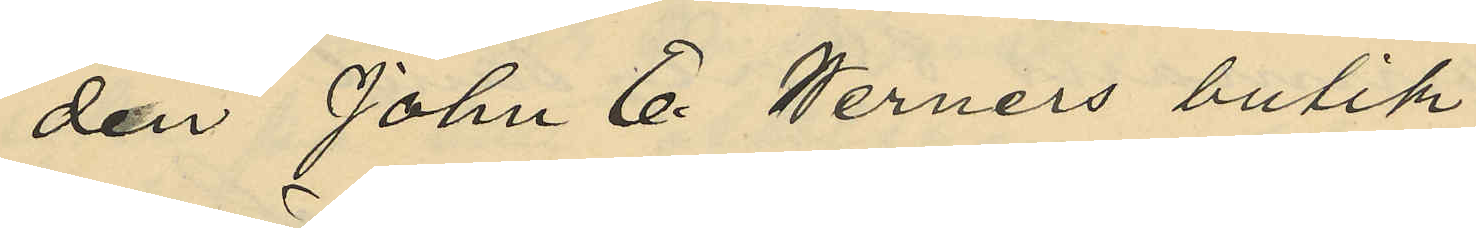den John E. Werners butik
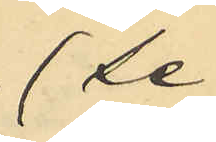(se
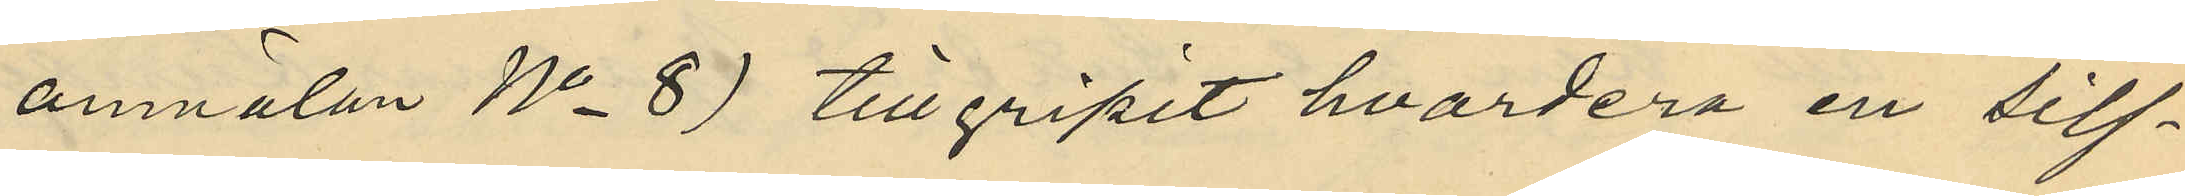anmälan No 8) tillgripit hvardera en silf¬
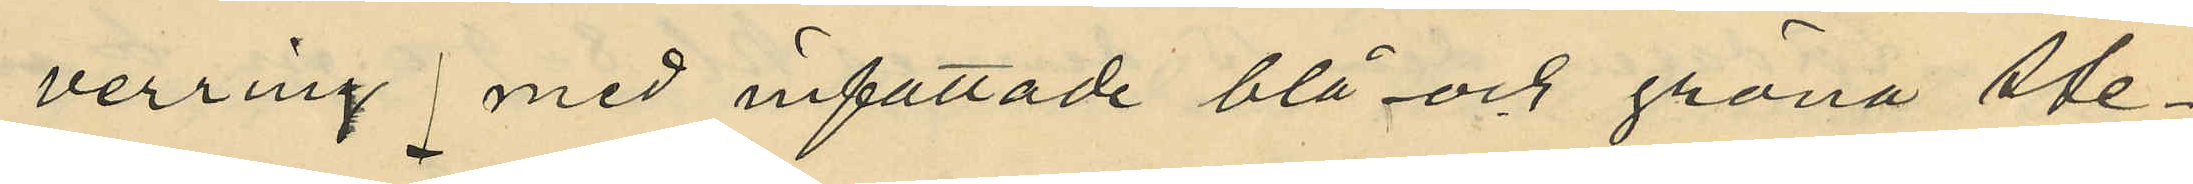verring med infattade blå och gröna ste¬
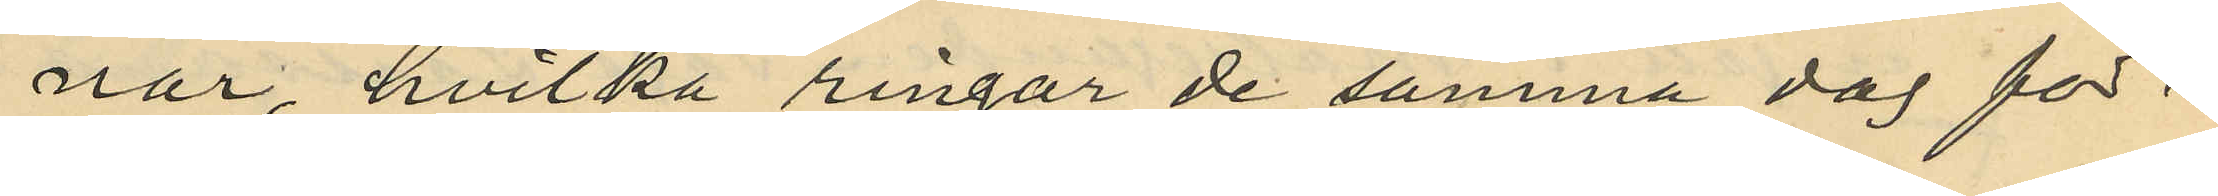nar, hvilka ringar de samma dag för¬
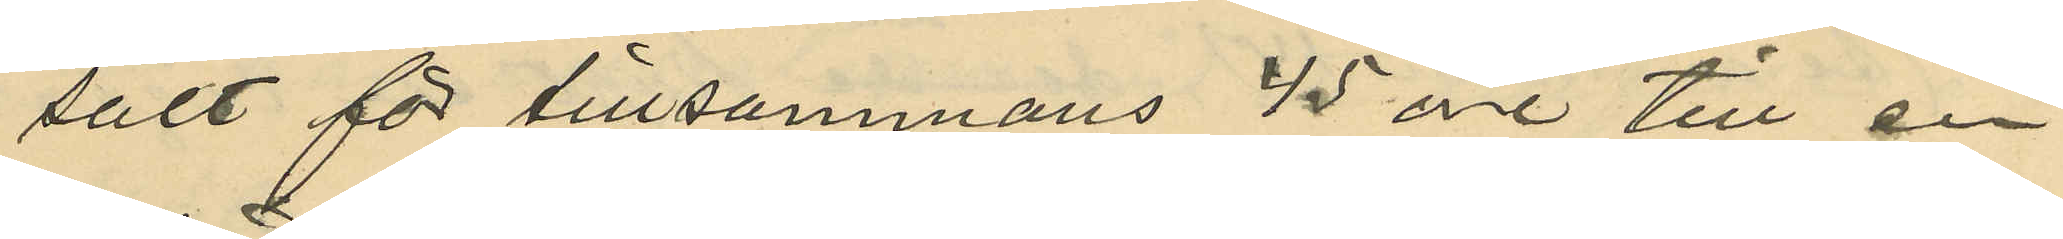sålt för tillsammans 45 öre till en
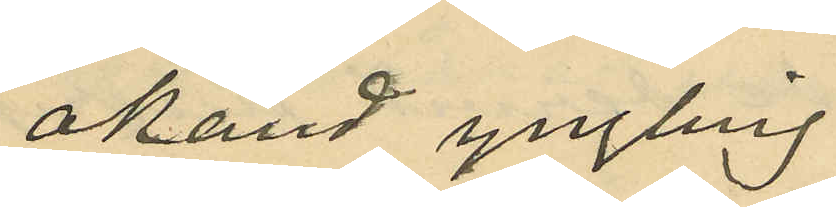okänd yngling.
